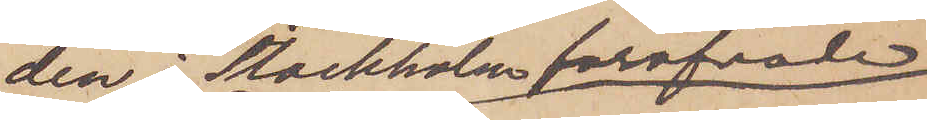den i Stockholm föröfvade
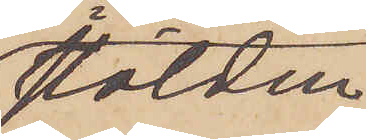stölden
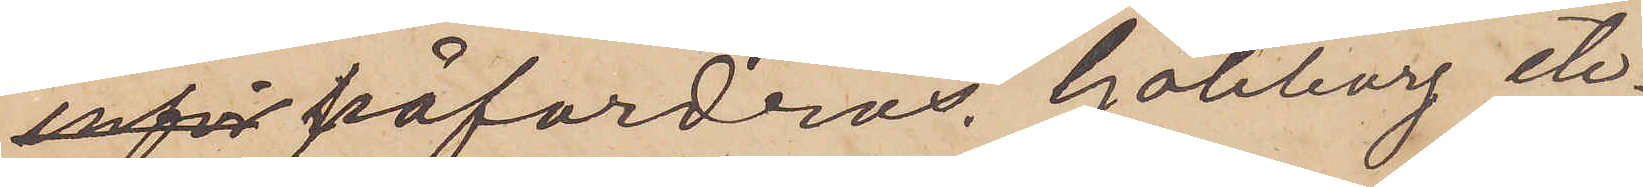 påfordras. Göteborg etc
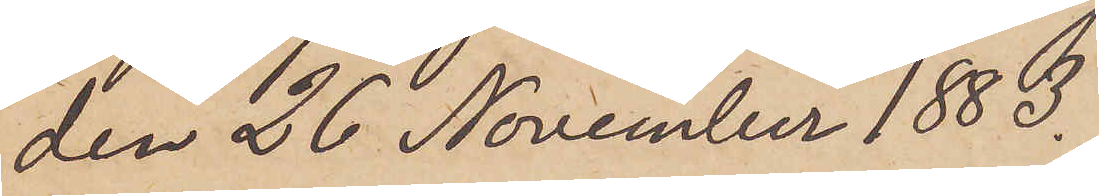den 26 November 1883.
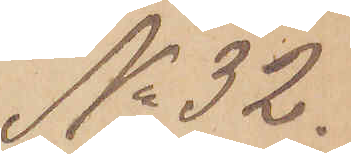No 32.
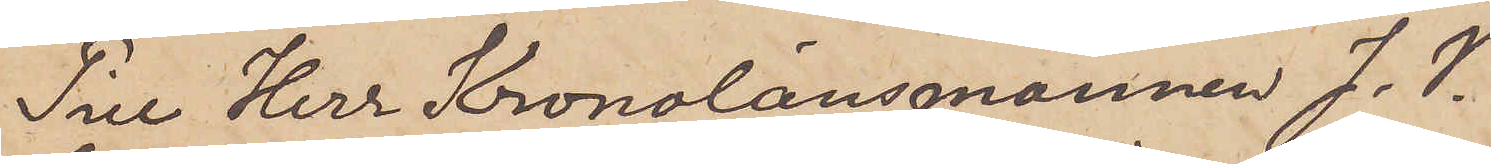Till Herr Kronolänsmannen J. V.
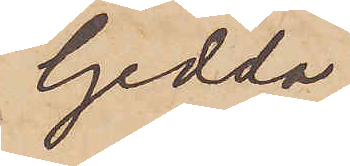Gedda.
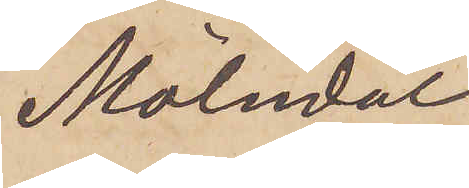Mölndal
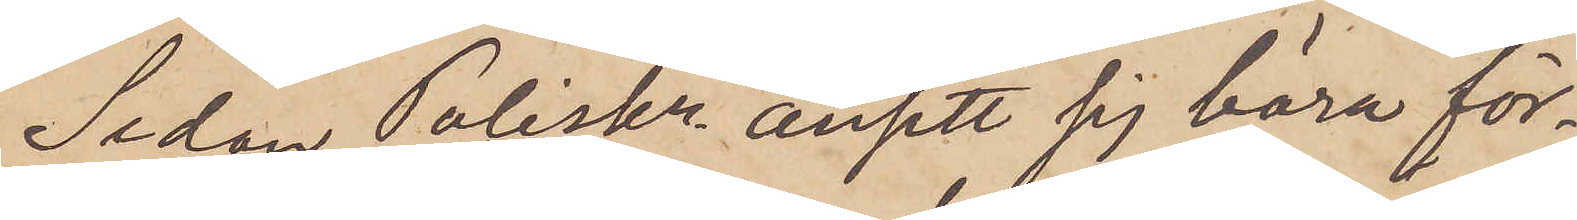Sedan Poliskr. ansett sig böra för¬
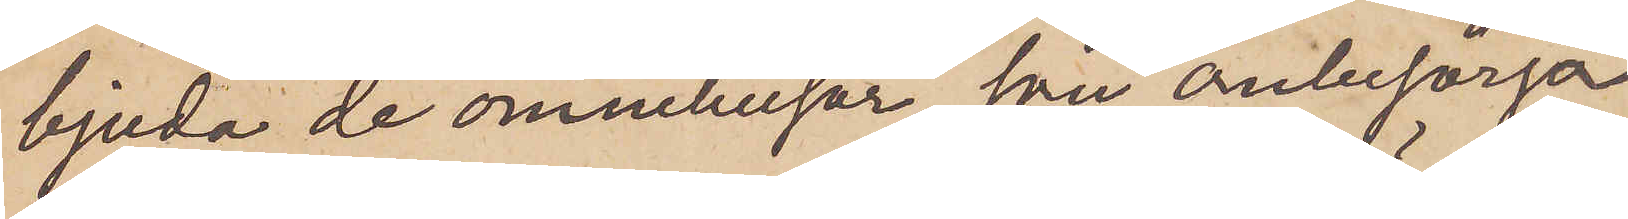bjuda de omnibusar, som ombesörja
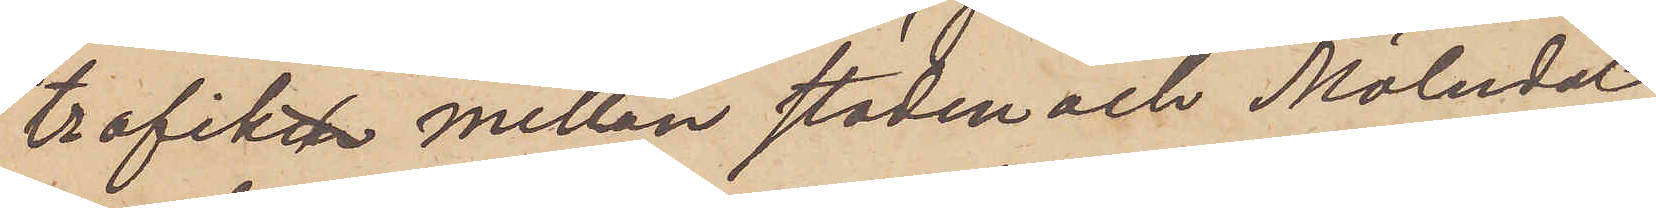trafik mellan staden och Mölndal,
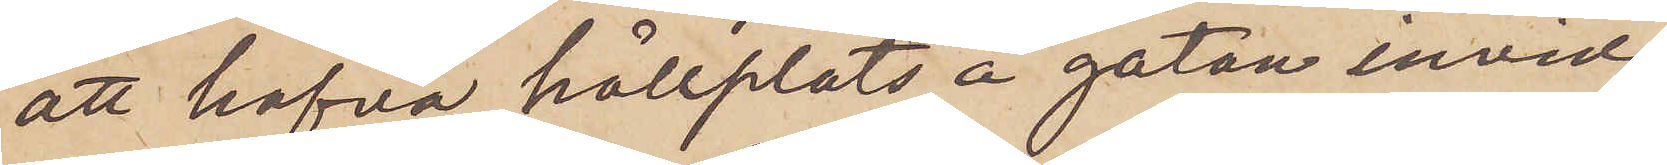att hafva hållplats å gatan invid
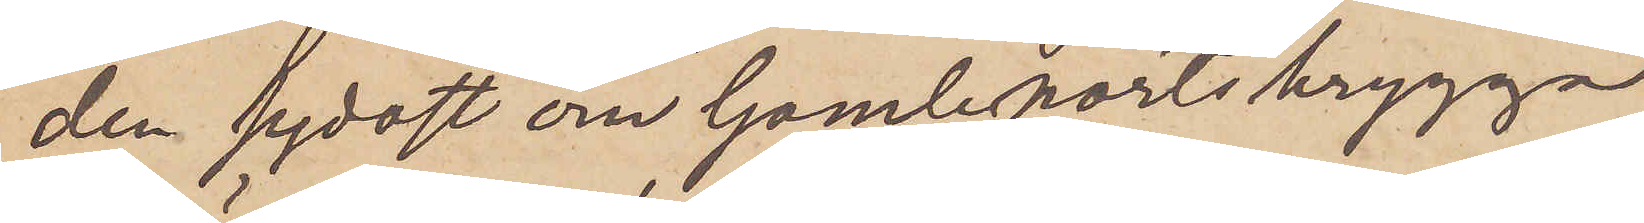den sydost om Gamleports brygga
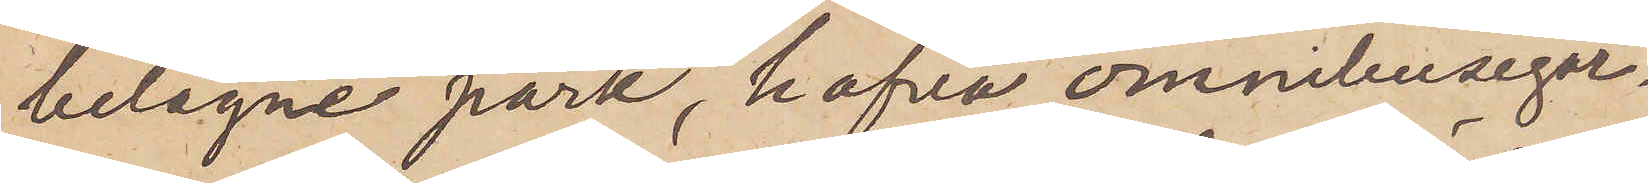belägne park, hafva omnibusegar¬
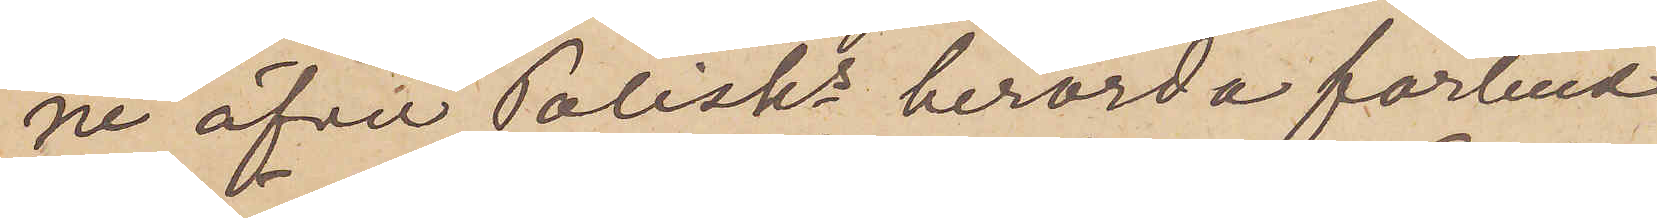ne öfver Polisks berörda förbud
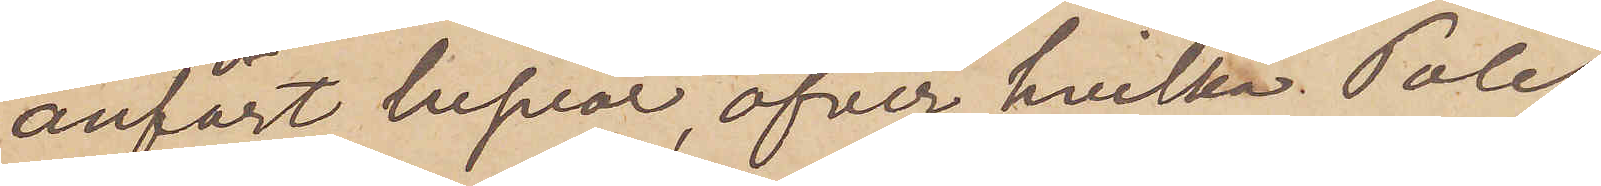anfört besvär, öfver hvilka Polis¬
